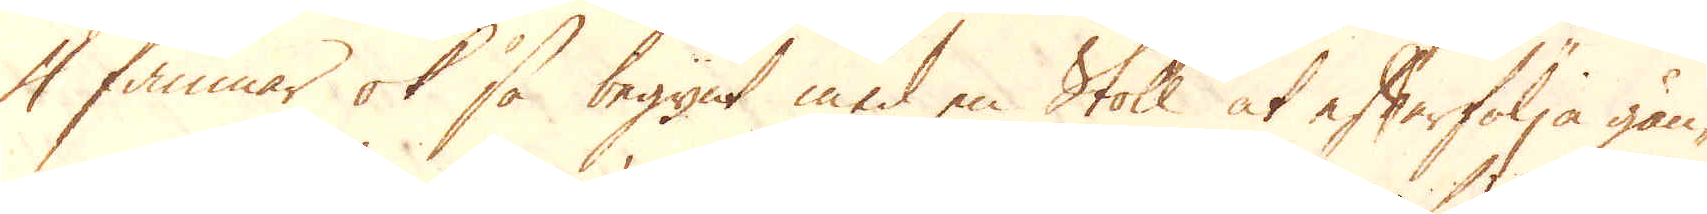4 famnar ok så begynt med en Stoll at efterfölja gån-
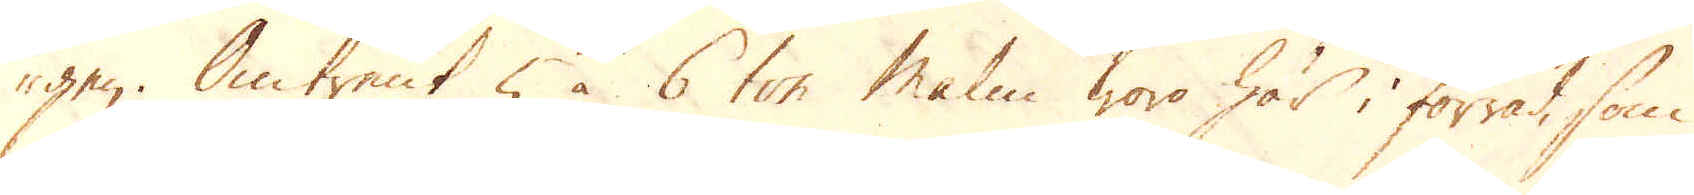gen. Omtrent 5 à 6 ton malm woro här i förråd, som
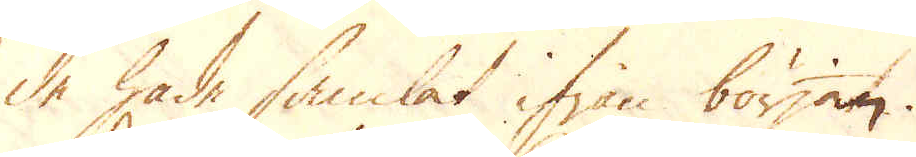de hade samlat ifrån början.
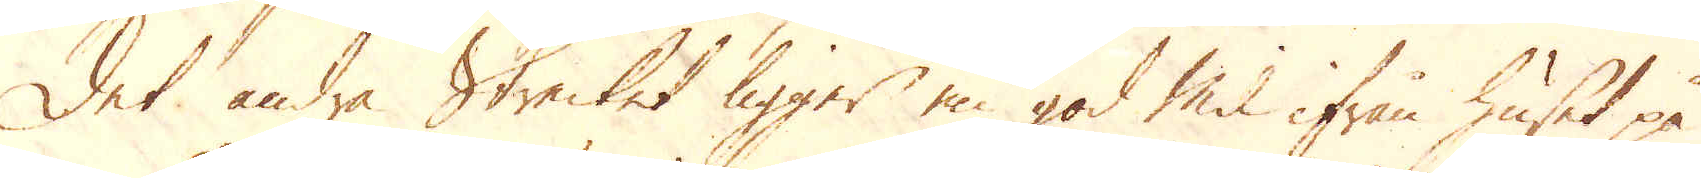Det andra Strecket ligger en god Mil ifrån huset på
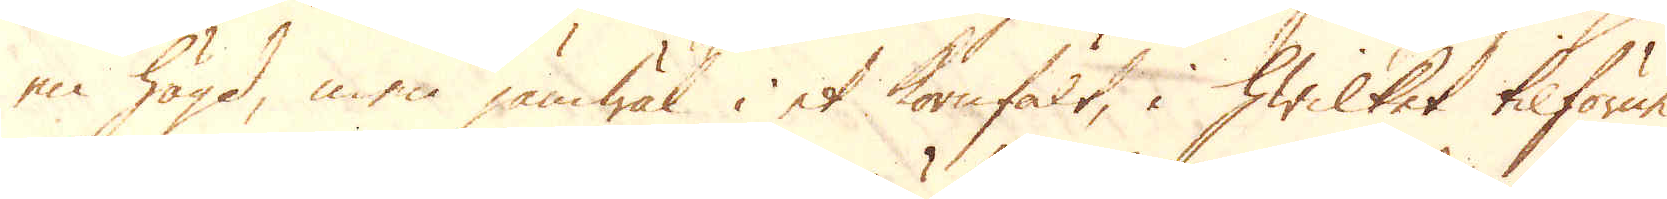en högd, men jämwäl i et kornfält, i hwilket tilförne
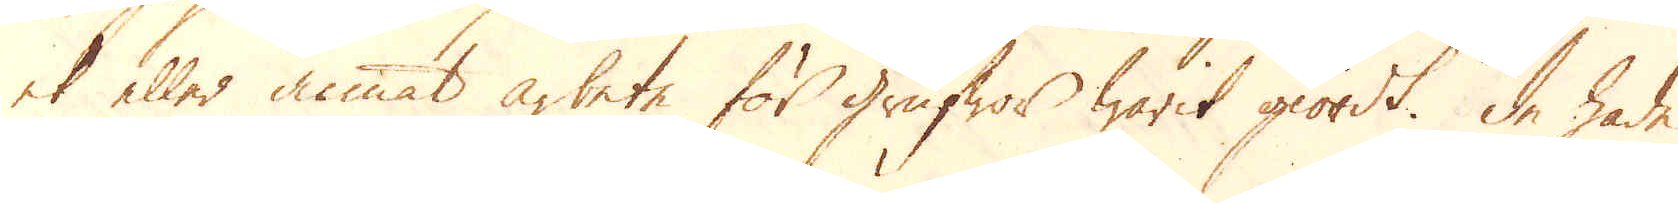et eller annat arbete för grufwor warit giordt. De hade
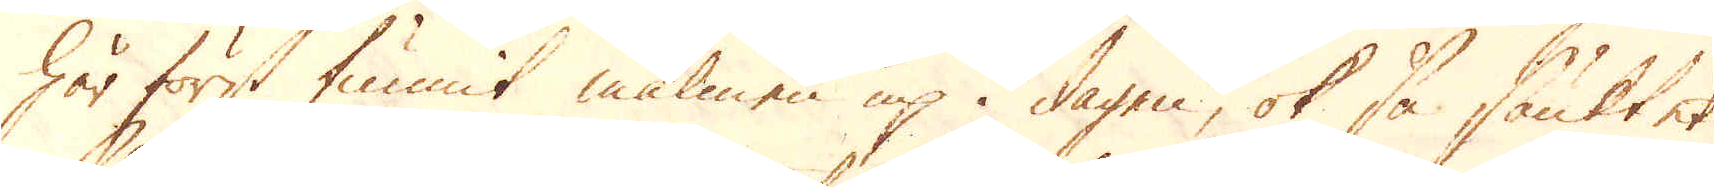här först funnit malmen up i dagen, ok så sänkt et
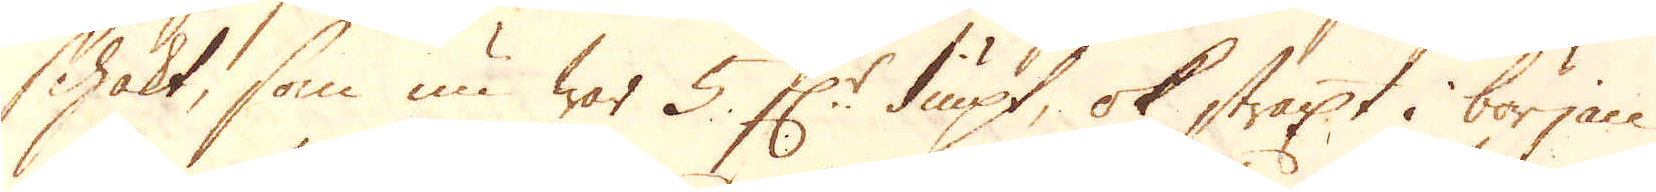Schakt, som nu war 5. f:r diupt, ok straxt i början
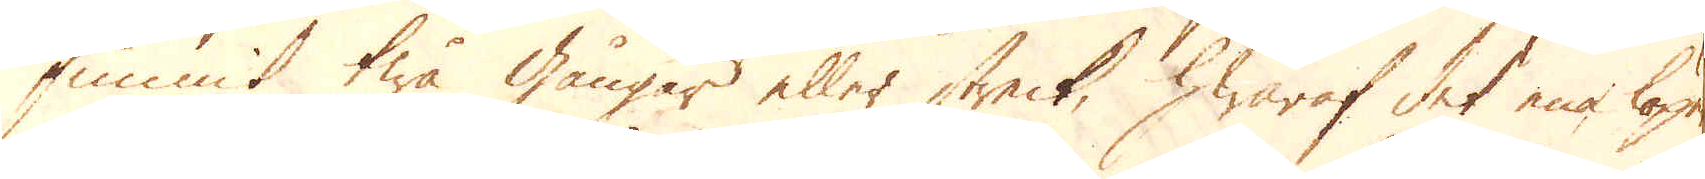funnit twå gångar eller streck, hwaraf det ena löpe
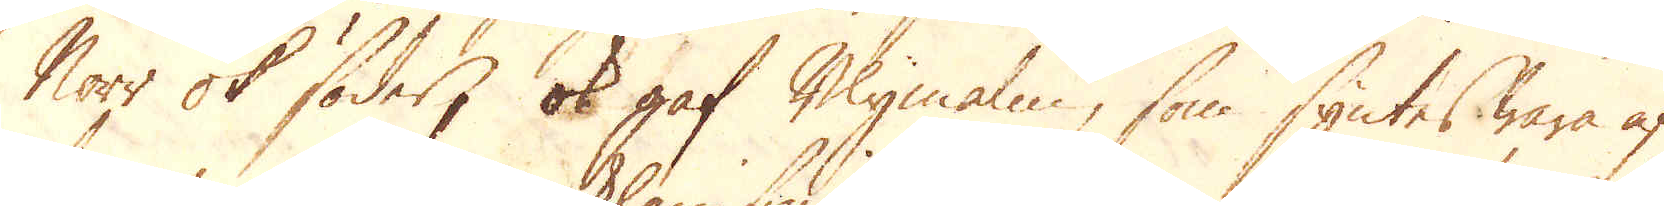Norr ok söder, ok gaf Blymalm, som syntes wara af
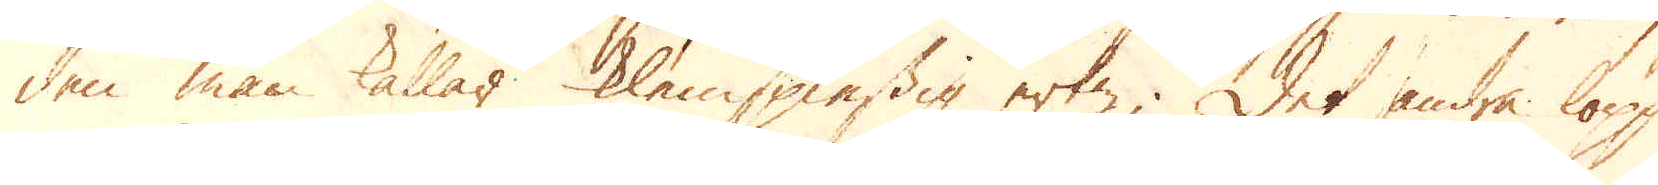den man kallas Klespiessig ertz; Det andra löpp
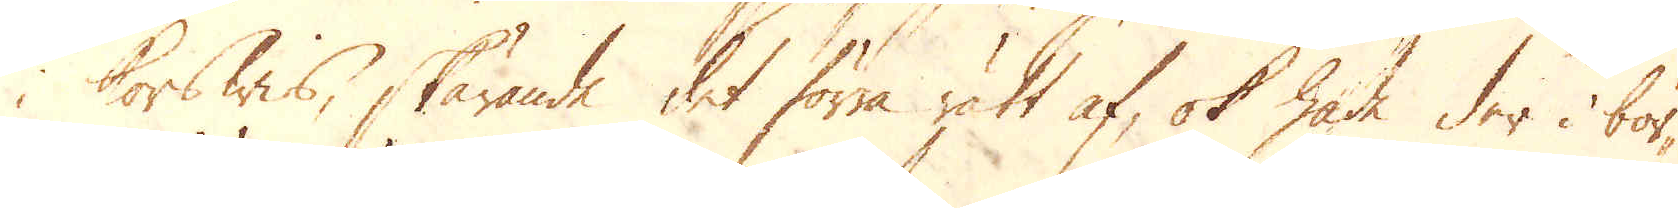korswis, skärande det förra rätt af, ok hade der i bör-
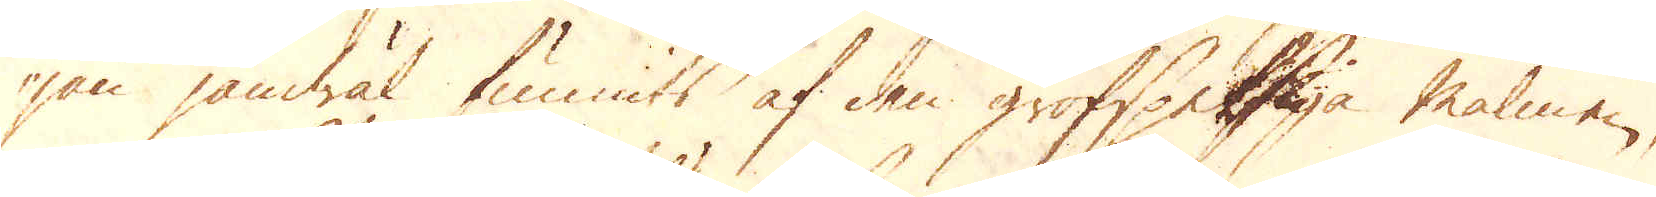jan jämwäl funnits af den grofspetsiga malmen,
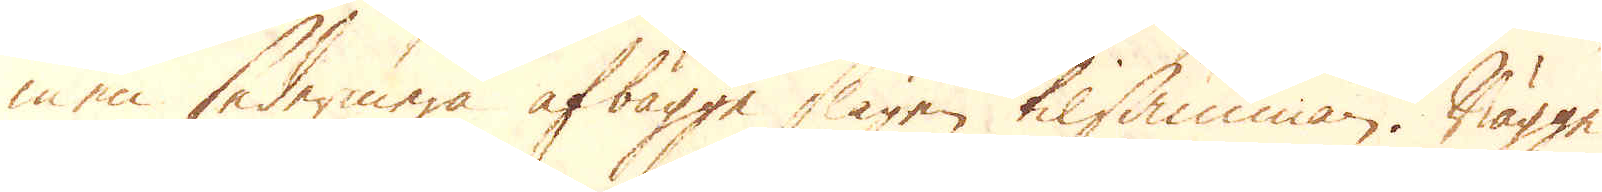men sedermera afbägge slagen tilsamman. Bägge
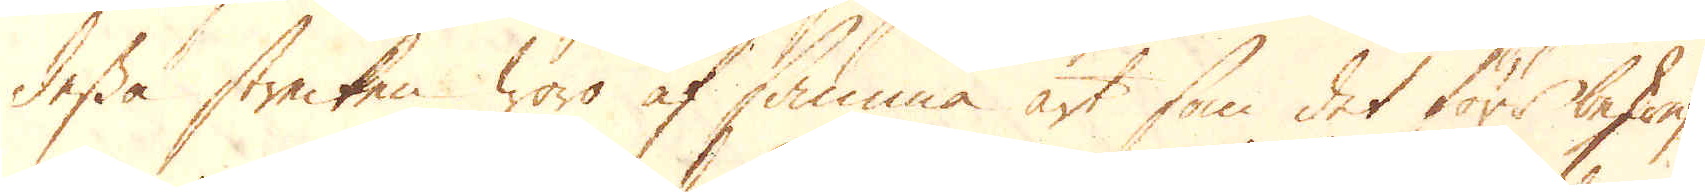dessa strecken woro af samma art, som det förr beskref-
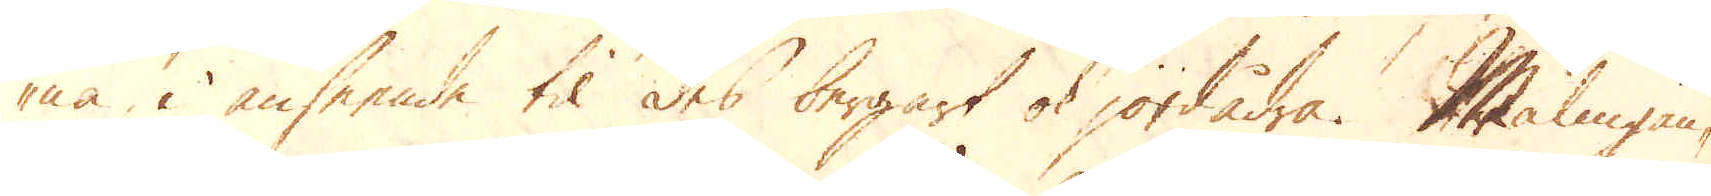na, i anseende til des bergart ok jordådra. Malmgån-
